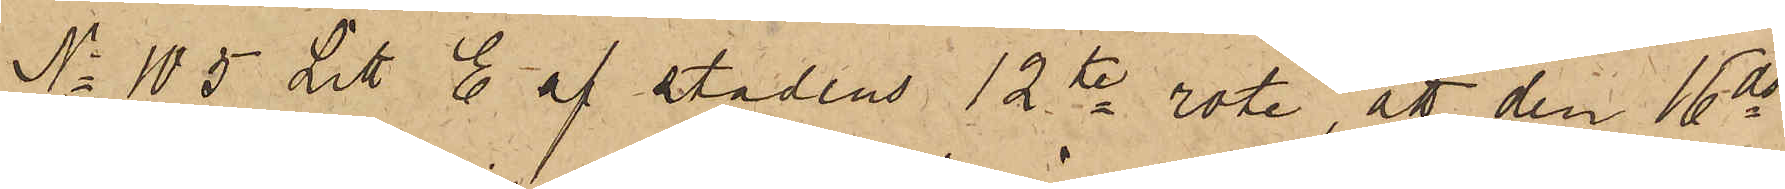No 105 Litt E af stadens 12te rote, att den 16 ds
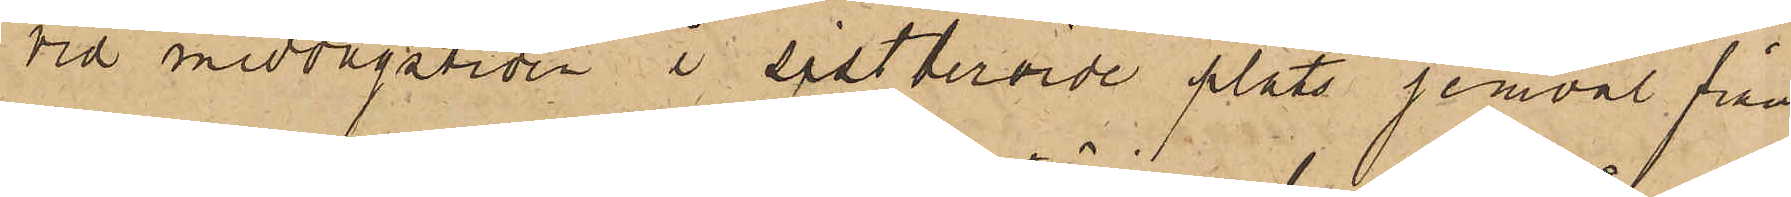vid middagstiden i sistberörde plats jemväl från
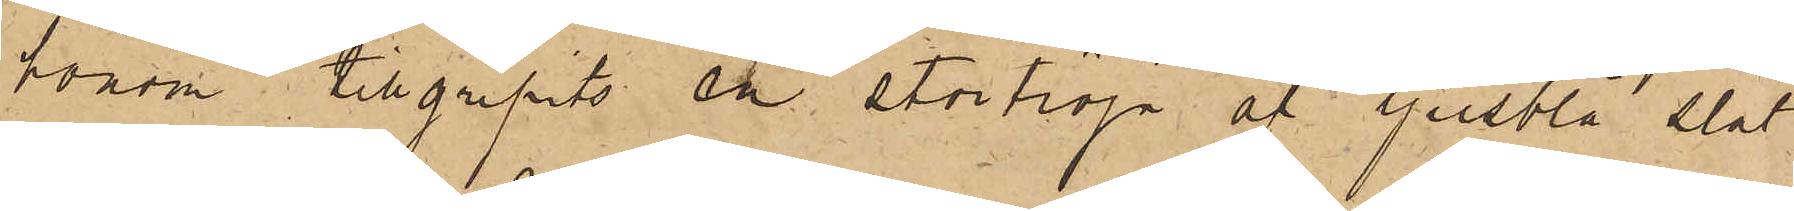honom tillgripits en stortröja af ljusblå slät
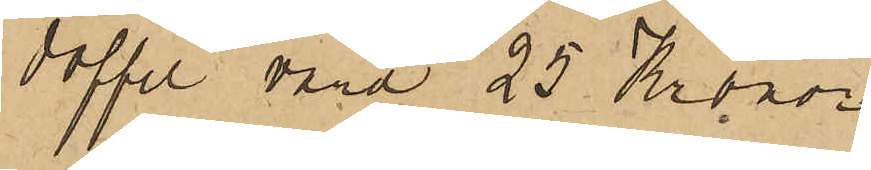doffel vara 25 Kronor.
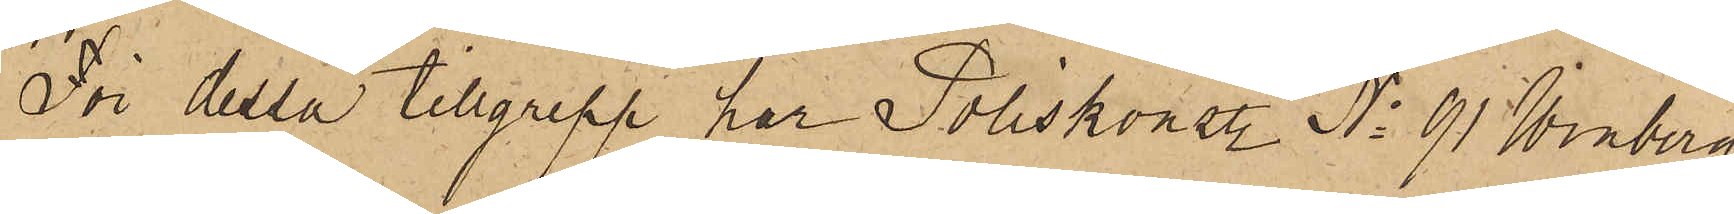För detta tillgrepp har Poliskonst. No 91 Winberg
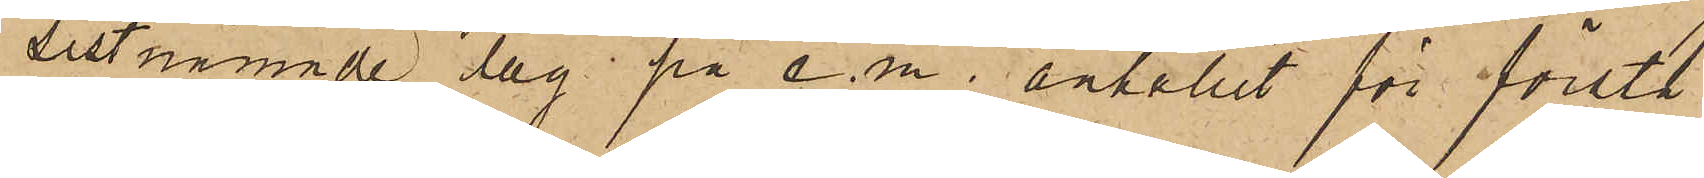sistnämnde dag på e. m. anhållit för första
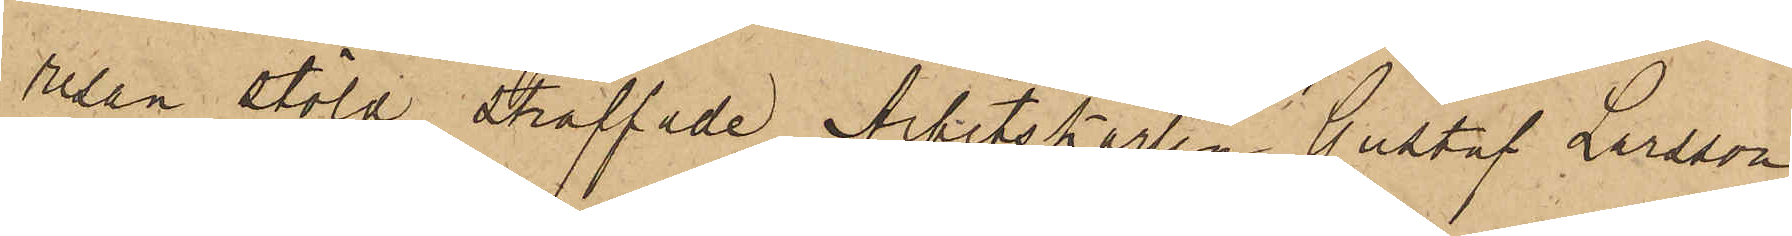resan stöld straffade Arbetskarlen Gustaf Larsson
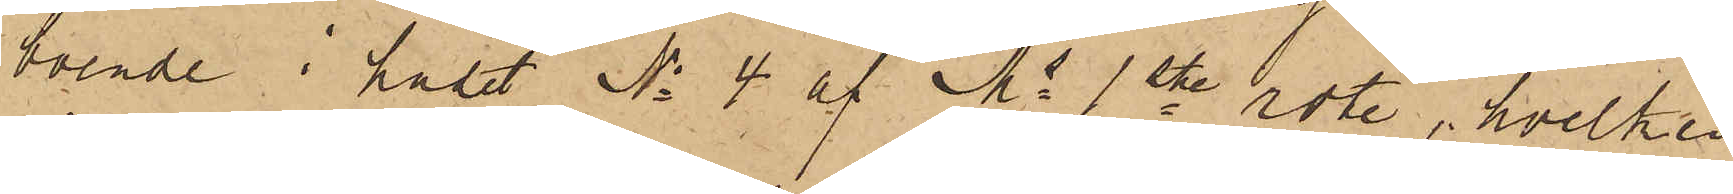boende i huset No 4 af Ms 1ste rote, hvilken
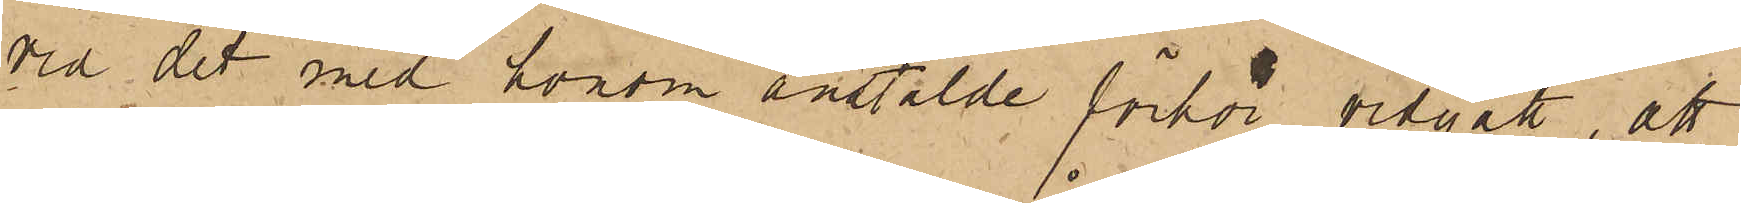vid det med honom anstälde förhör vidgått, att
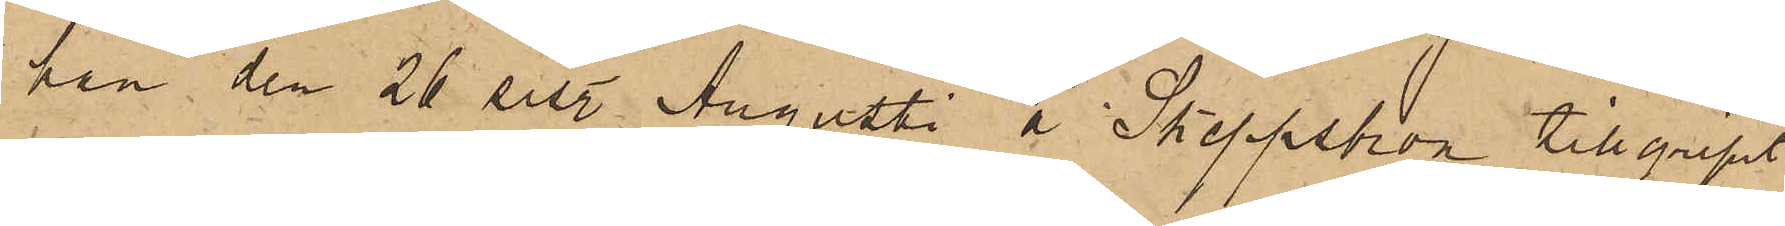han den 26 sist. Augusti å Skeppsbron tillgripit
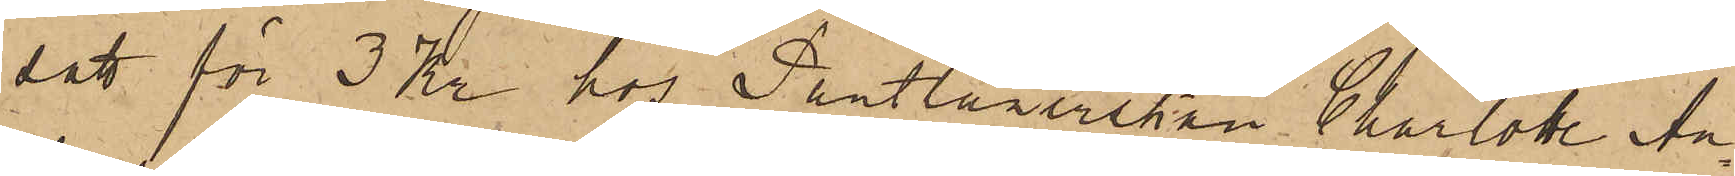satt för 3 Kr hos Pantlånerskan Charlotte An¬
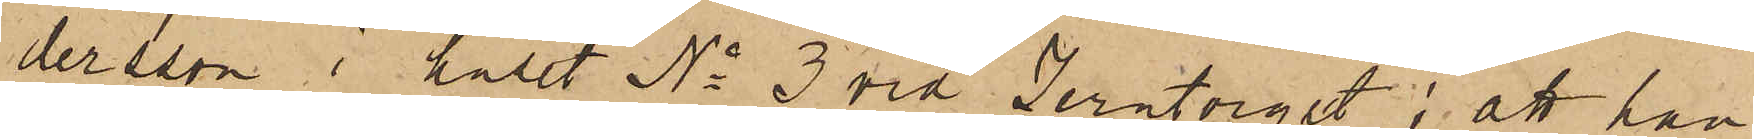dersson i huset No 3 vid Jerntorget; att han
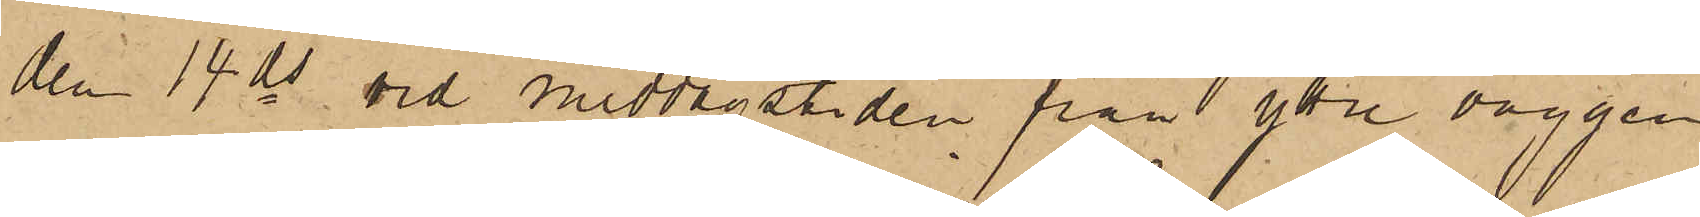den 14 ds och middagstiden från yttre väggen
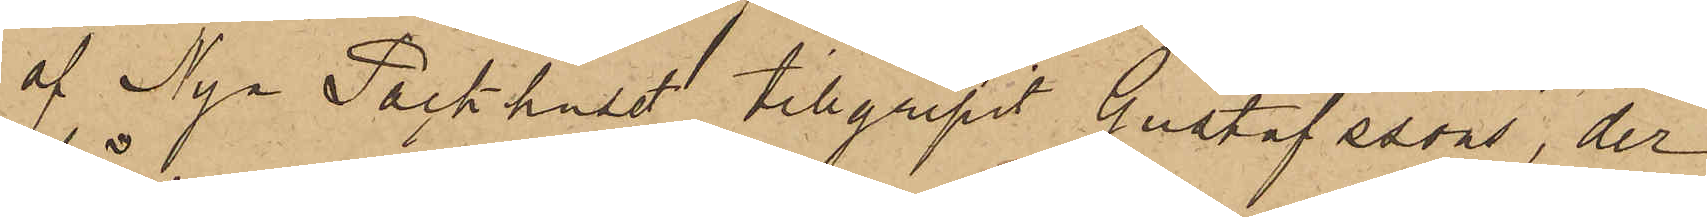af Nya Packhuset tillgripit Gustafssons, der
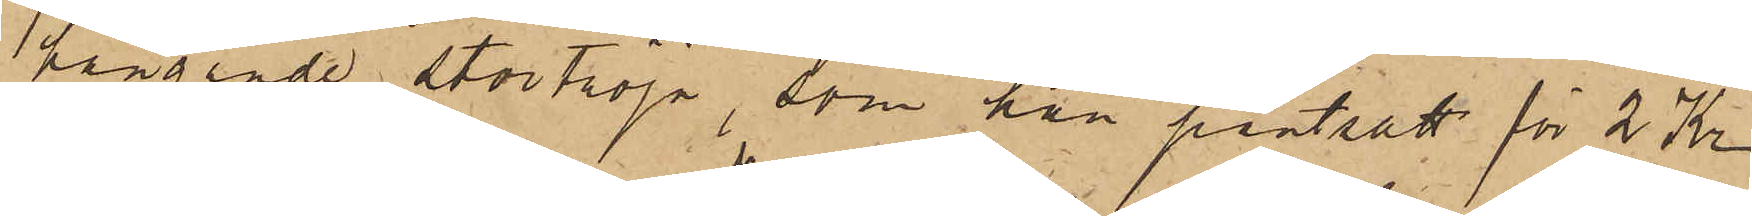hängande stortröja, som han pantsatt för 2 Kr
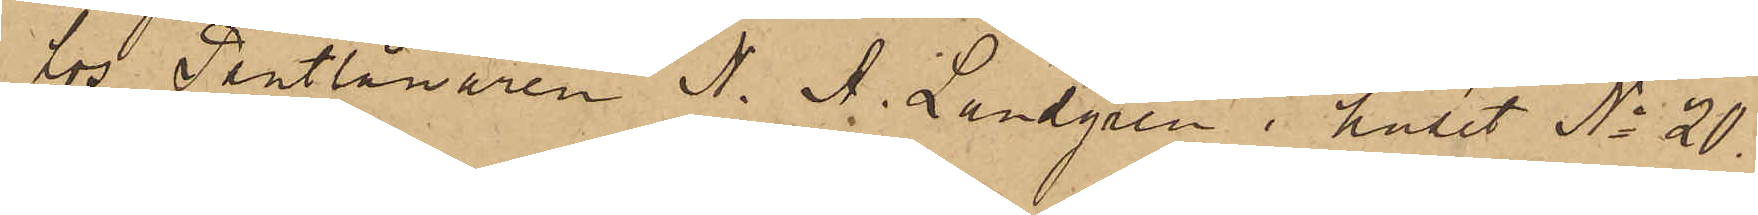hos Pantlånaren N. A. Landgren i huset No 20.
